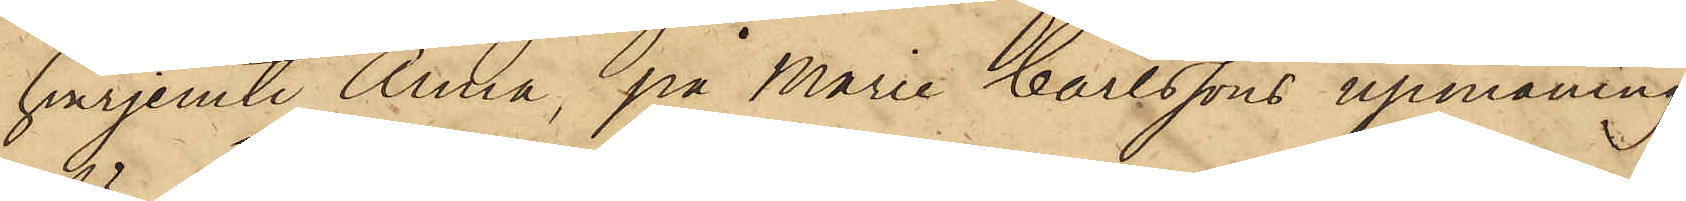hvarjemte Anna, på Marie Carlssons upmaning
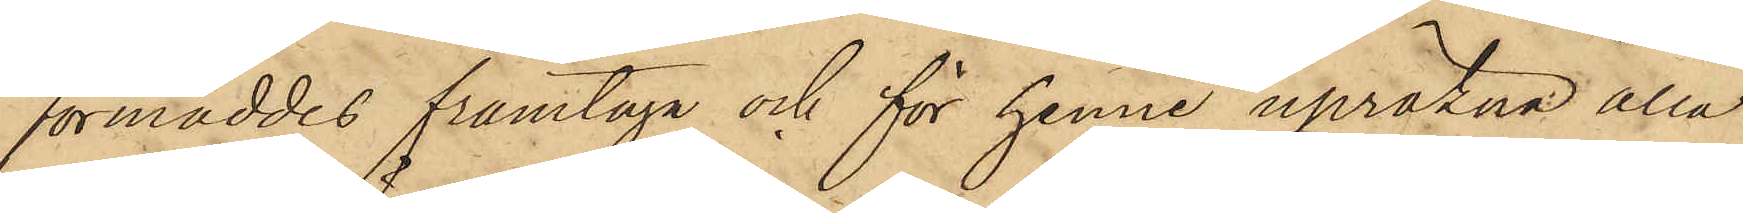förmåddes framtaga och för henne upräkna alla
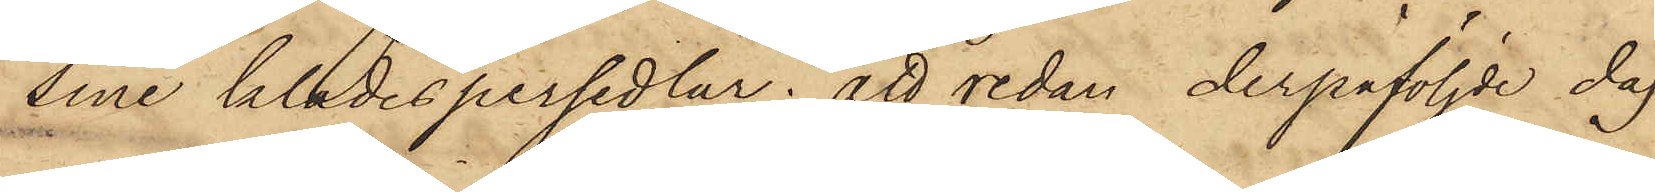sine klädespersedlar; att redan derpåföljde dag
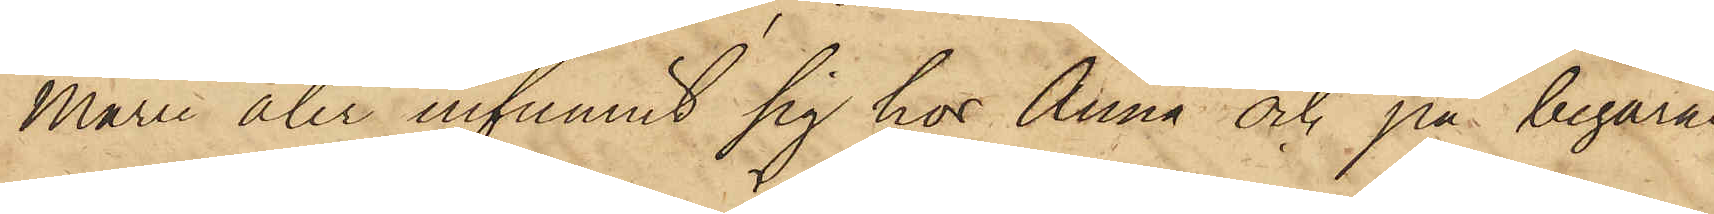Marie åter infunnit sig hos Anna och på begäran
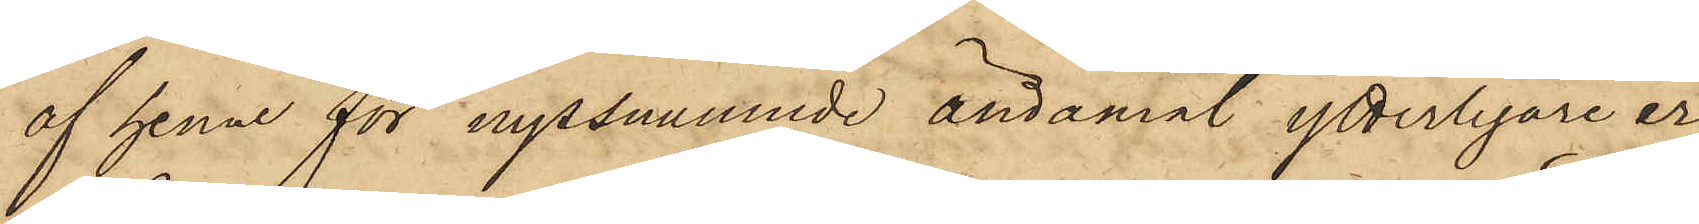af henne för nyssnämnde ändamål ytterligare er¬
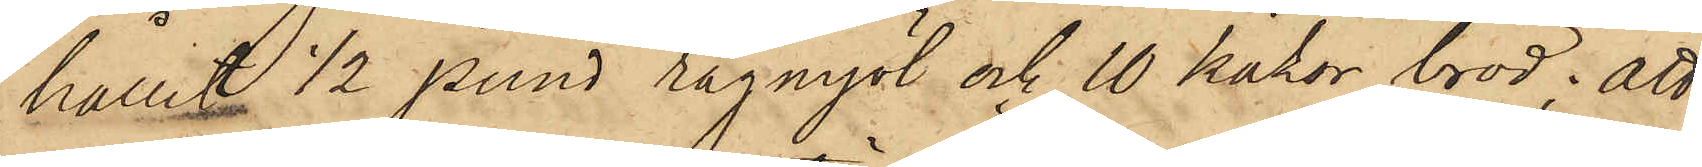hållit 1/2 pund rågmjöl och 10 kakor bröd; att
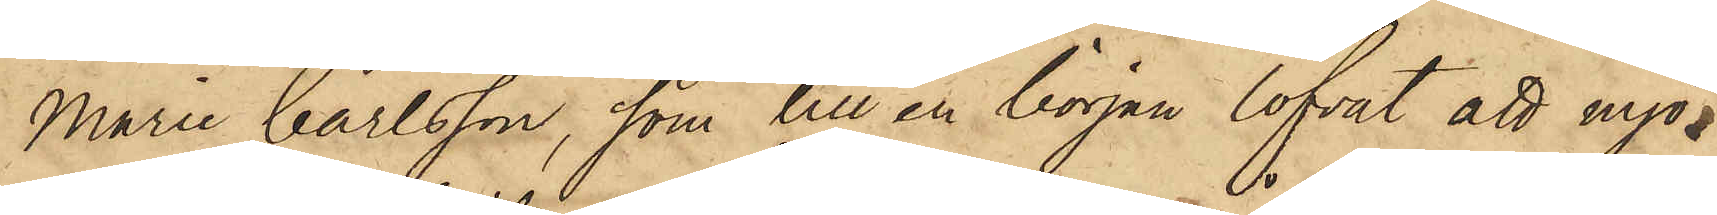Marie Carlsson, som till en början lofvat att mjö¬
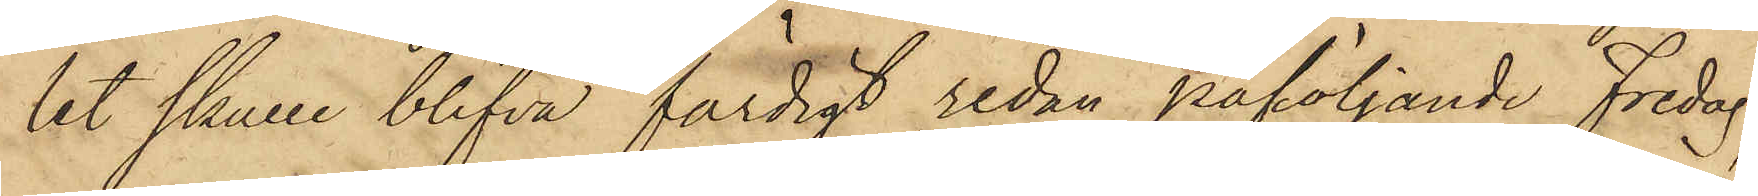let skulle blifva färdigt redan påföljande Fredag,
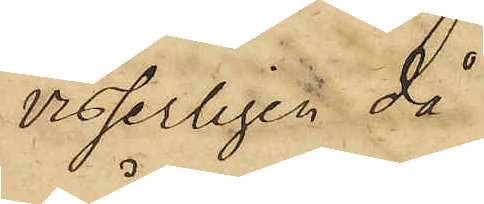visserligen då
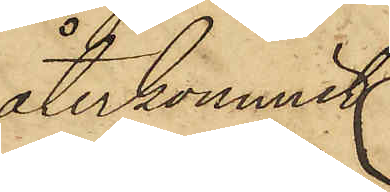återkommit
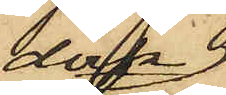dock
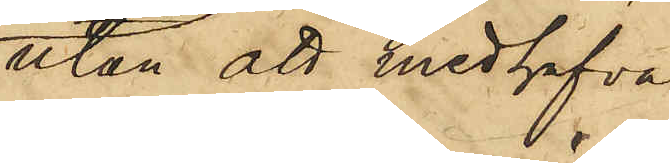utan att medhafva
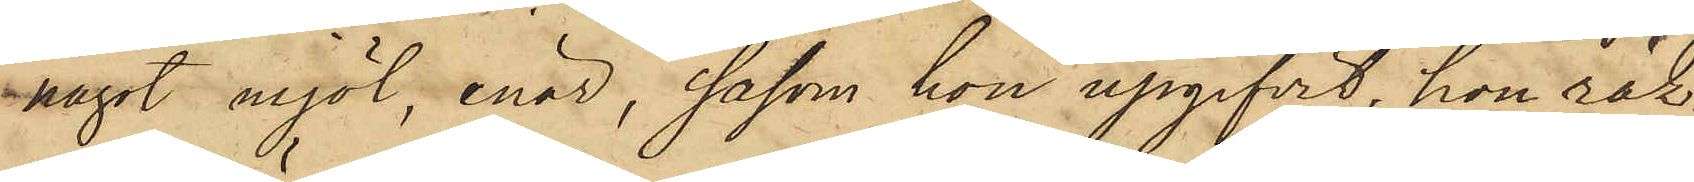något mjöl, enär, såsom hon upgifvit, hon räk¬
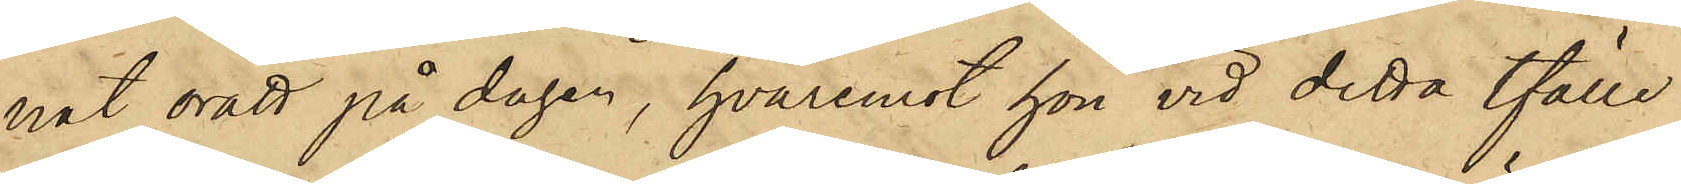nat orätt på dagar, hvaremot hon vid detta tfälle
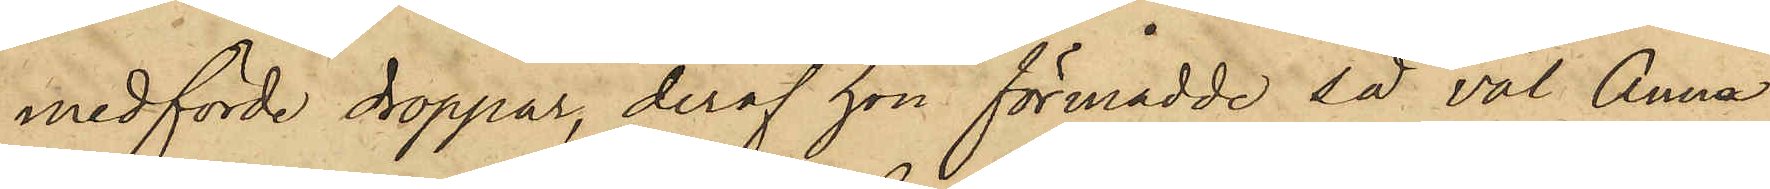medförde droppar, deraf hon förmådde så väl Anna
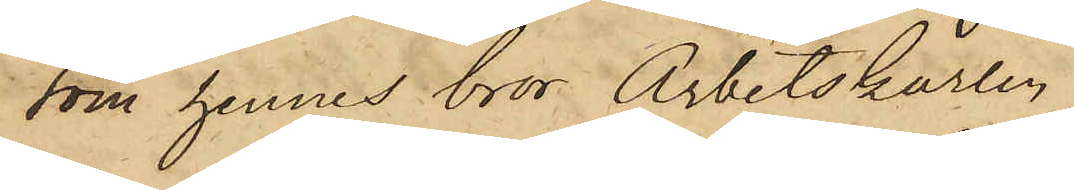som hennes bror Arbetskarlen
